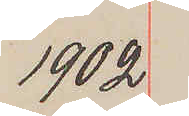1902
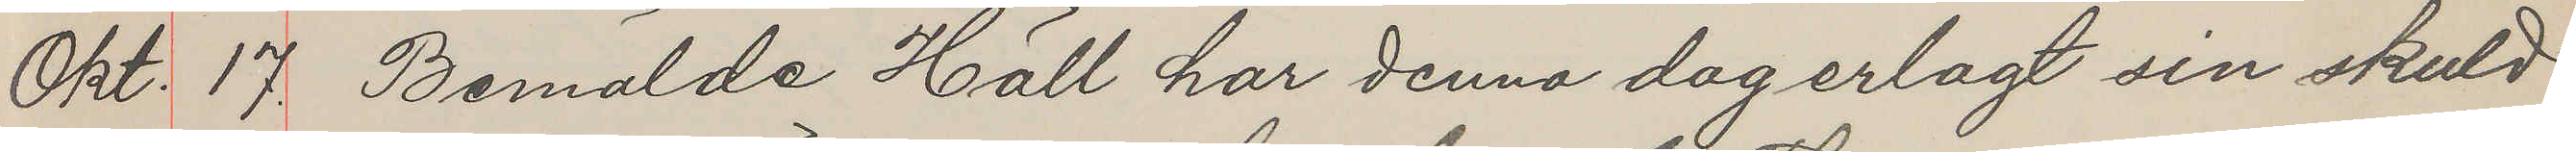Okt. 17. Bemälde Häll har denna dag erlagt sin skuld
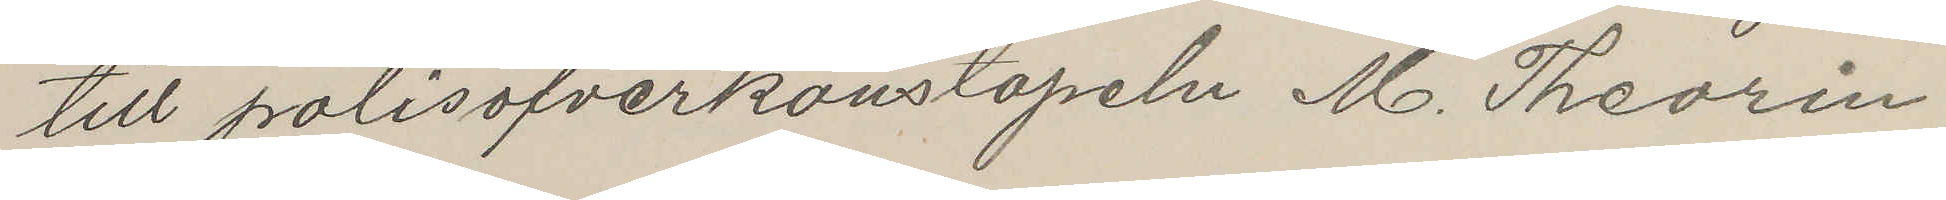till polisöfverkonstapeln M. Theorin
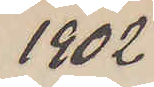1902
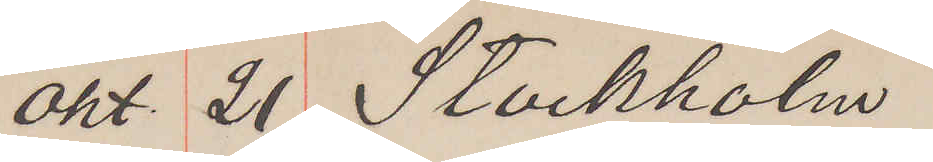Okt 21 Stockholm
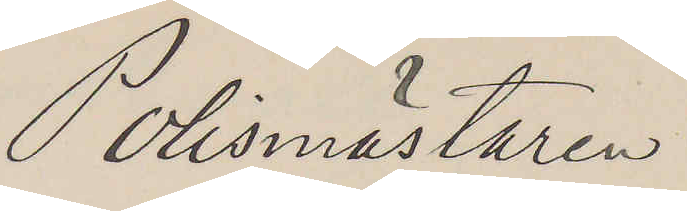Polismästaren
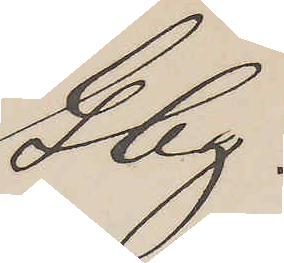Gbg.
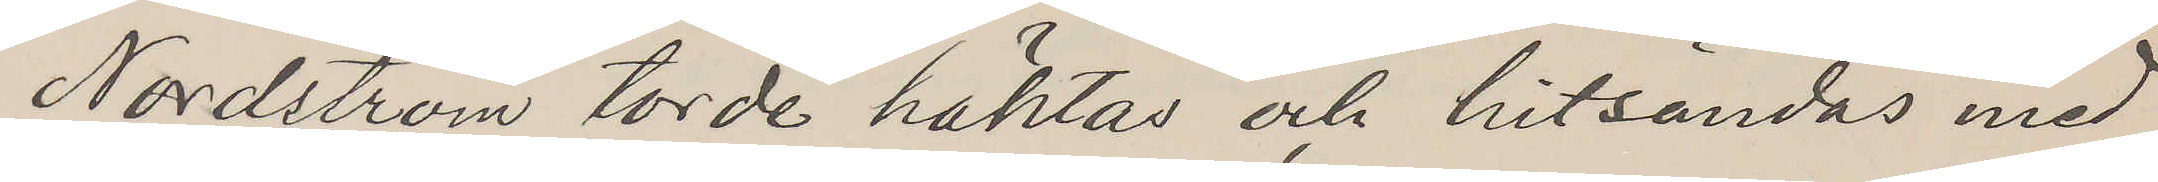Nordström torde häktad och hitsändas med
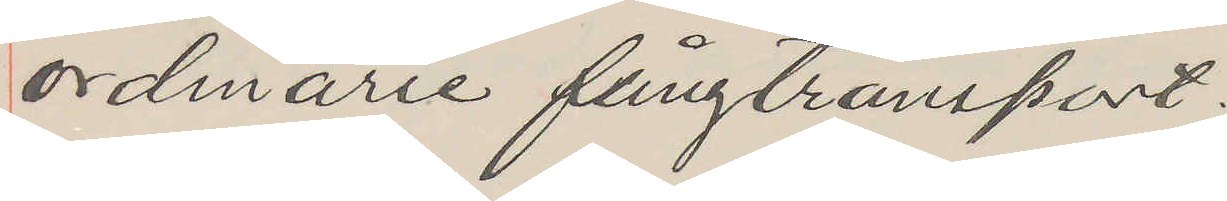ordinarie fångtransport.
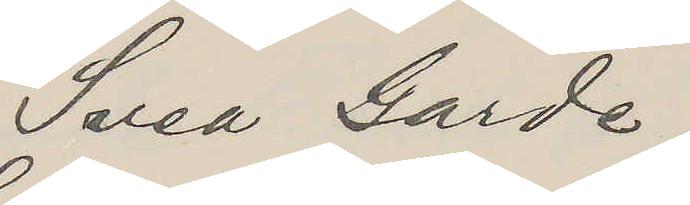Svea Garde
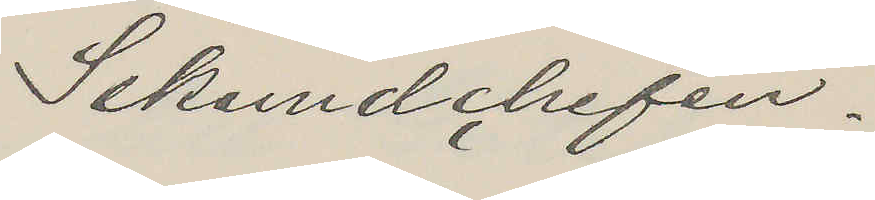Sekundchefen.
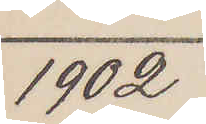1902
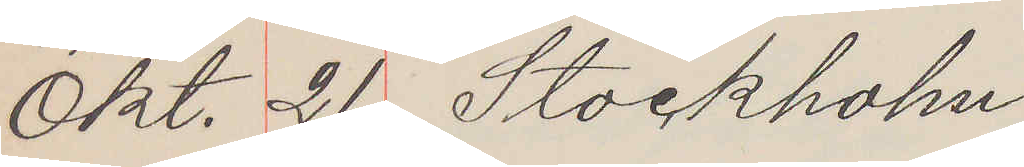Okt. 21 Stockholm
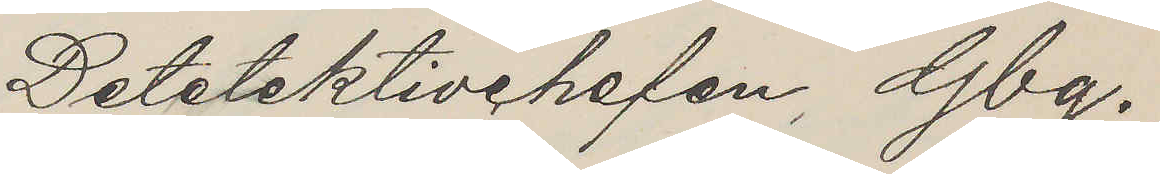Detetektivchefen, Gbg.
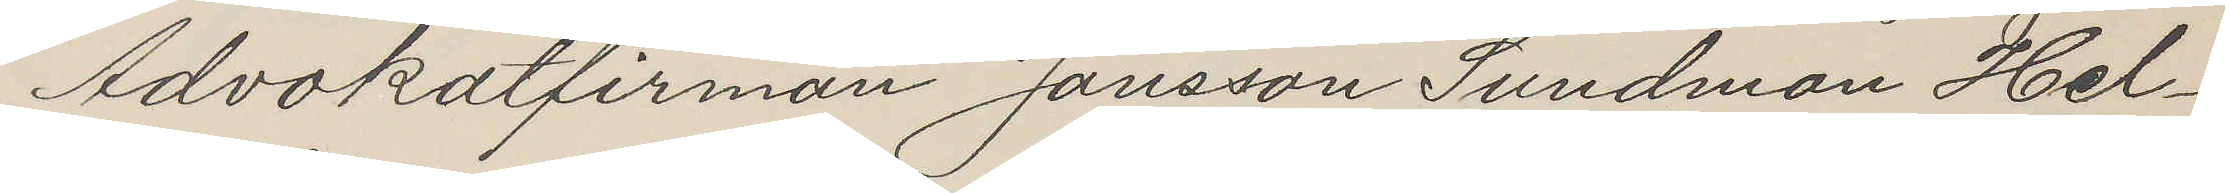Advokatfirman Jansson Sundman Hel¬
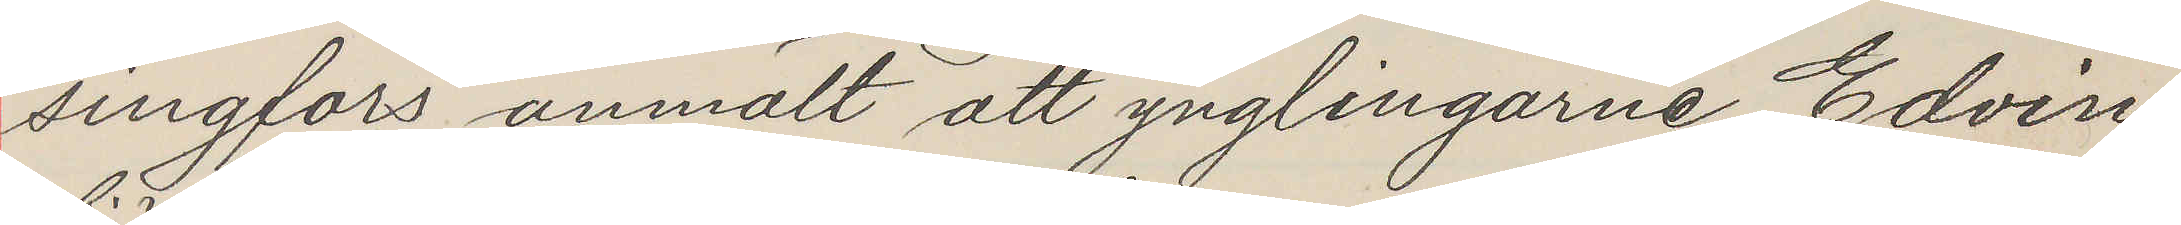singfors anmält att ynglingarne Edvin
